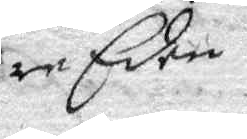re Eden.
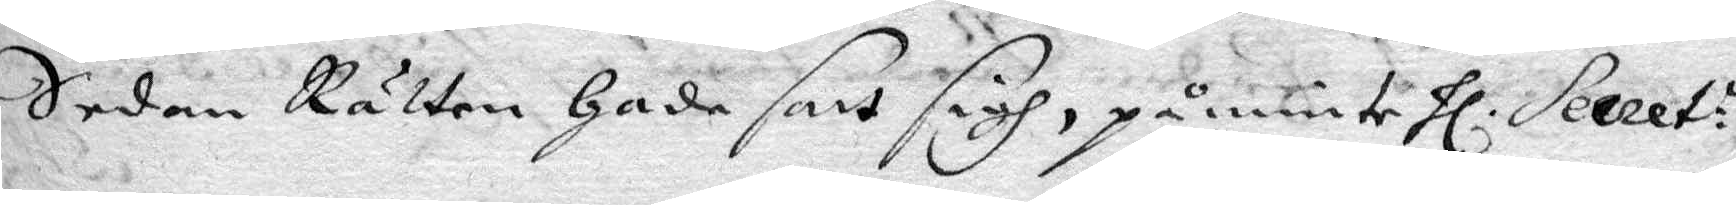Sedan Rätten hade satt sigh, påminte Hl. Secret:n
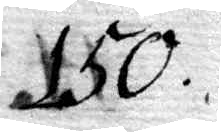150.
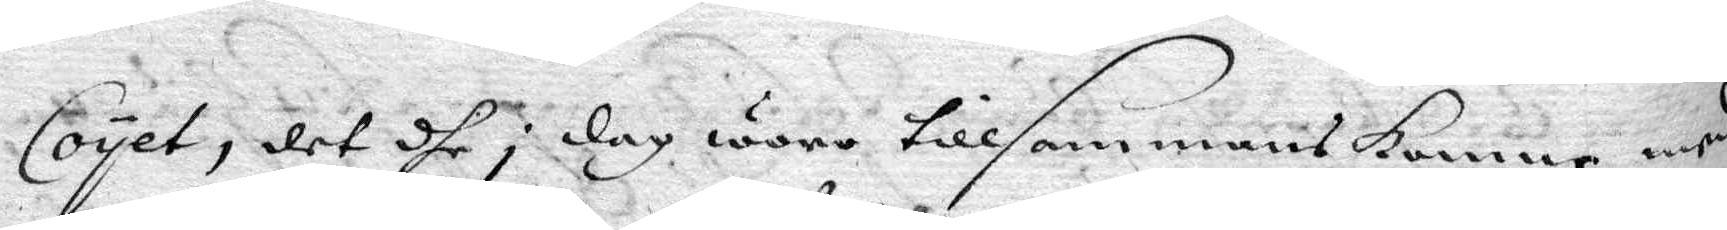Coyet, det dhe i dag woro tillsammans komne med
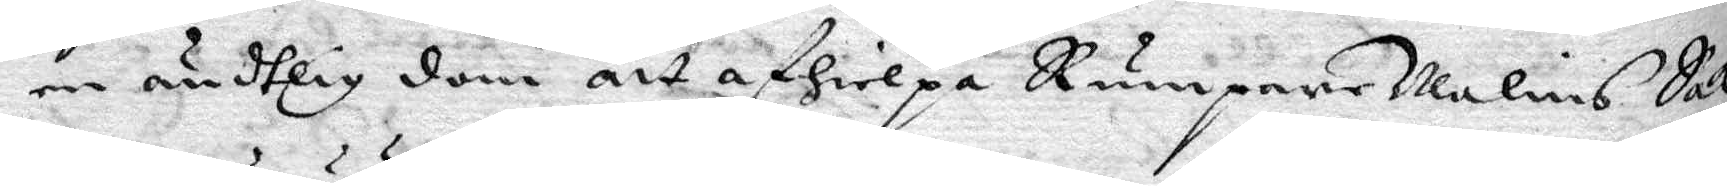en ändtlig dom tt afhielpa RumpareMalins Sak,
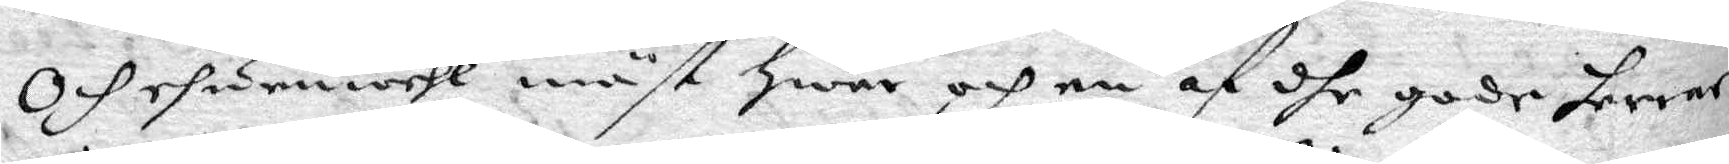Och ehuruwähl måst hwar och en af dhe gode herrar
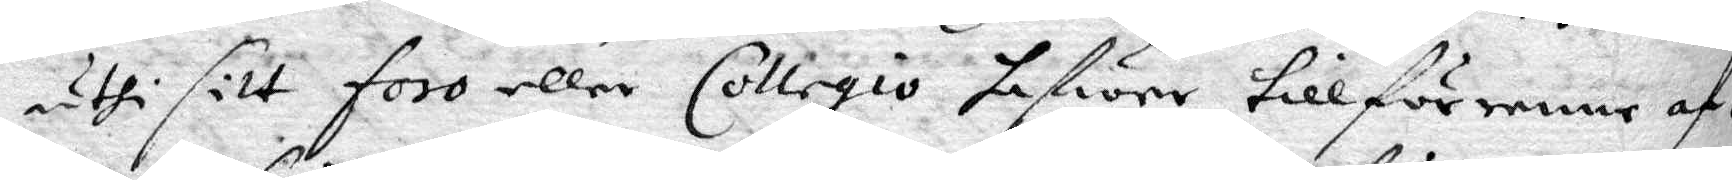uthi sitt foro eller Collegio hafwer tillförenne af¬
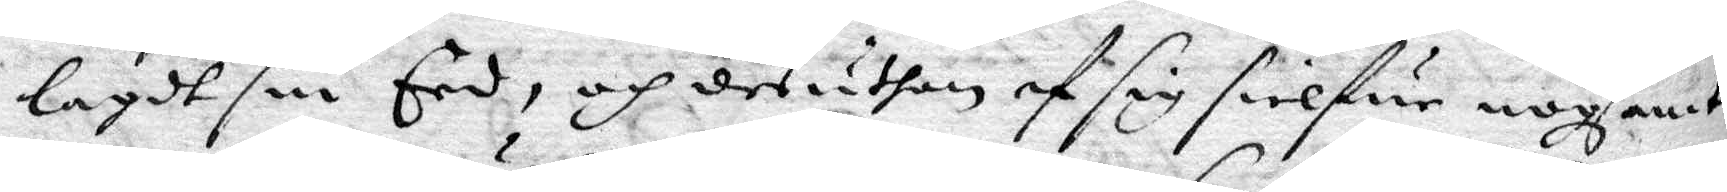lagdt sin Eed, och desuthan af sig sielfwe nogsamt
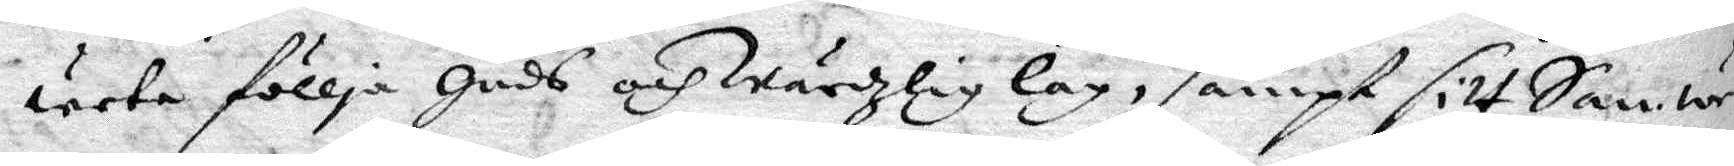weta föllja guds och Wärdzlig lag, sampt sitt Samwe¬
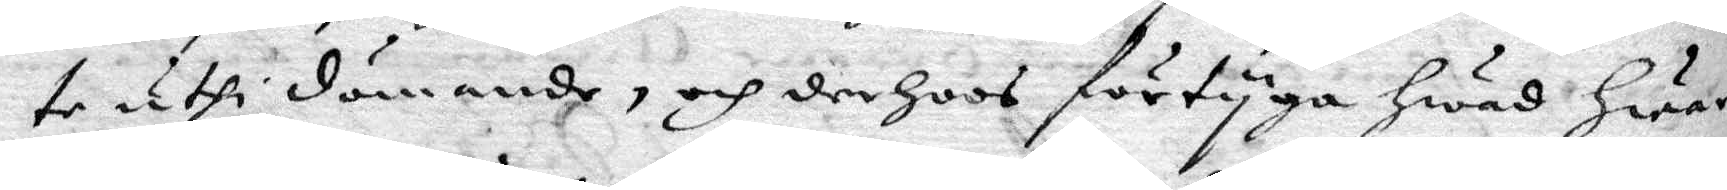te uthi dömmande, och derhoos förtyga hwad hwar
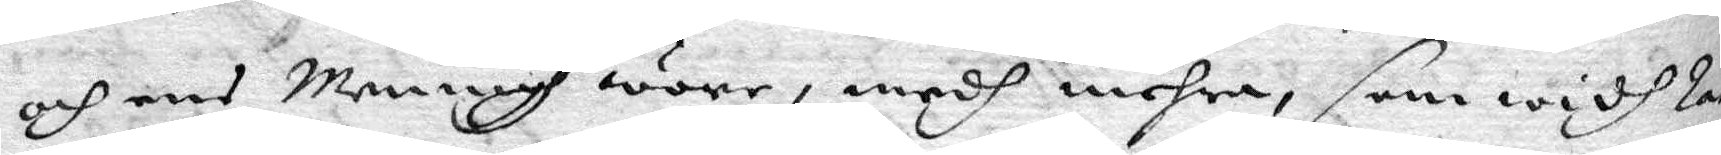och ens Menignh wore, medh mehra, som widh Rät¬
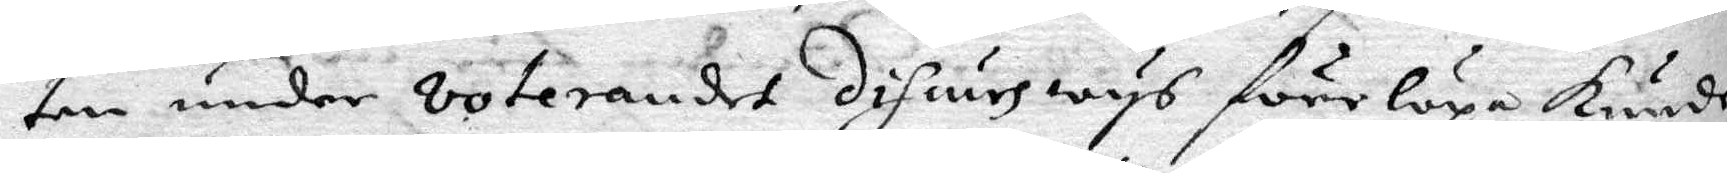ten under voterandet discurs wys förelöpa kunde,
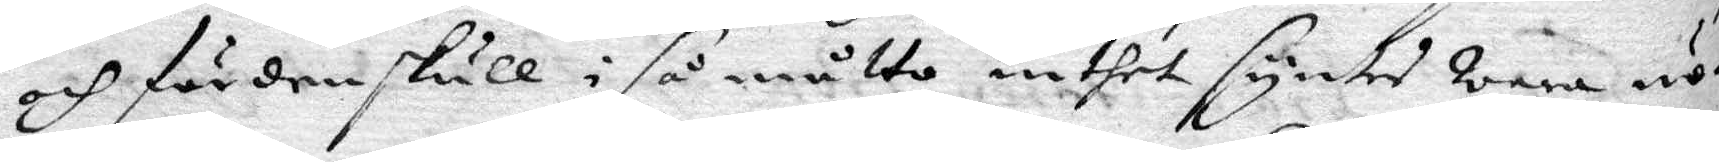och för den skull i så måtto inthet syntes wara nö¬
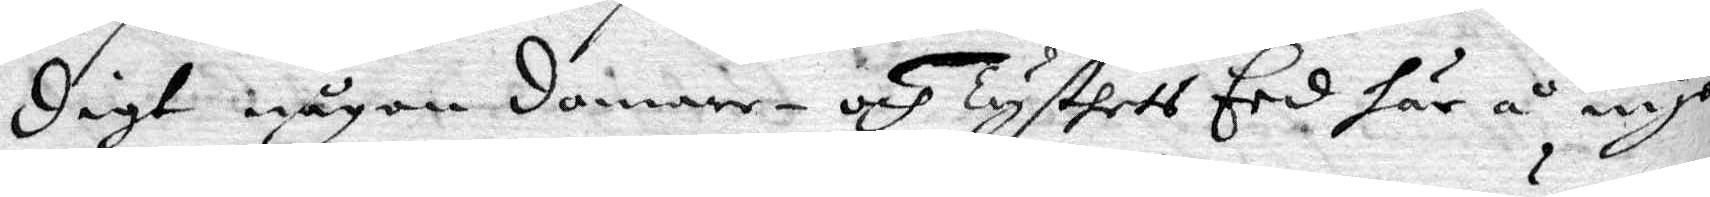digt någon domare- och Tysthets Eed här å nyo
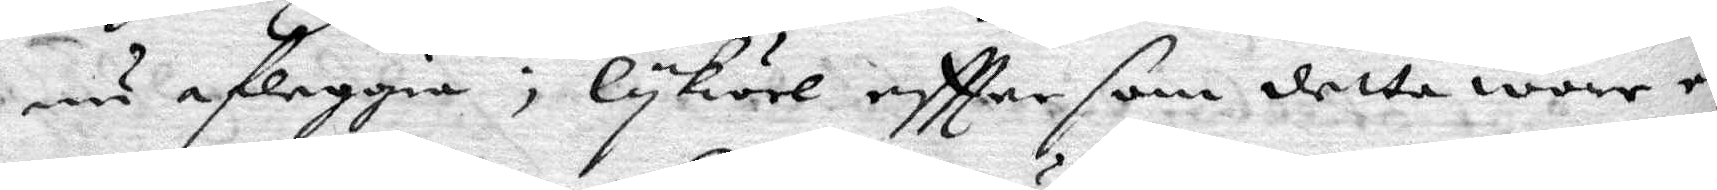nu afleggia; lykwäl eftter som detta wore en
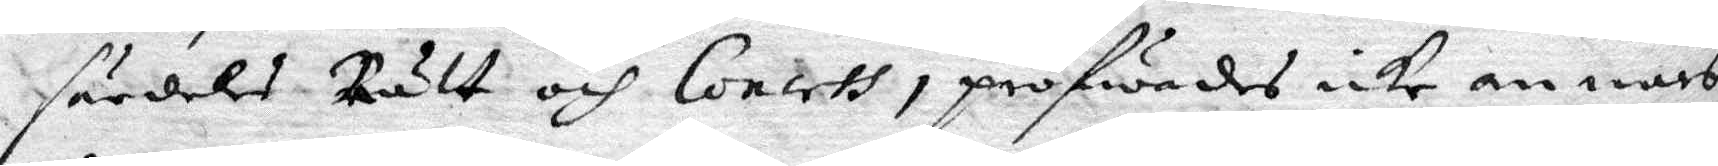särdeles Rätt och Concreth, pröfwades icke annars
